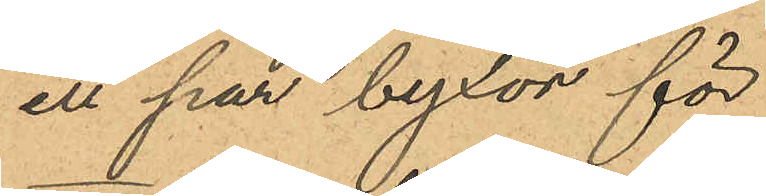ett par byxor för
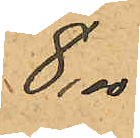8,00
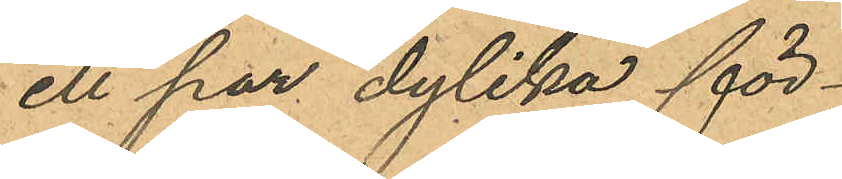ett par dylika för
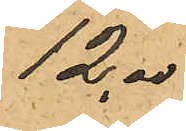12,00
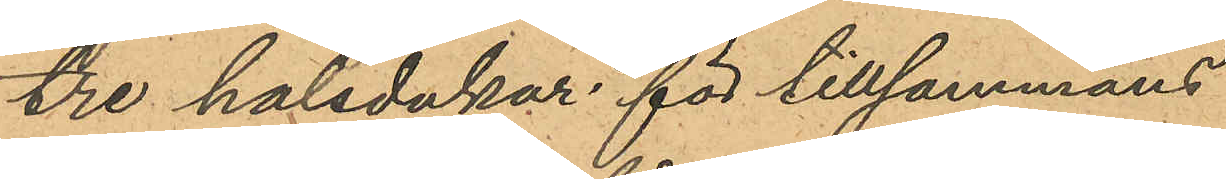tre halsdukar för tillsammans
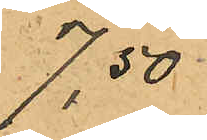7,50
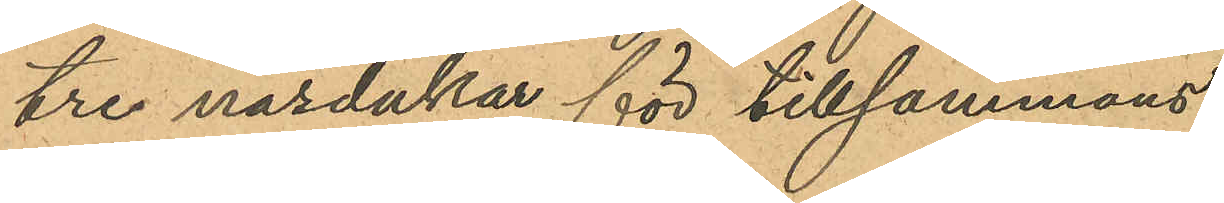tre näsdukar för tillsammans
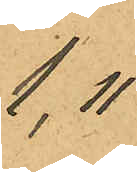1,11
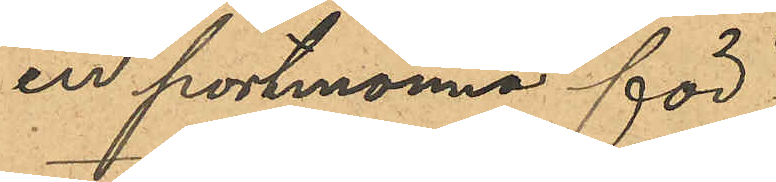en portmonnä för
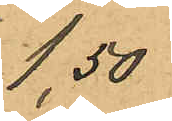1,50
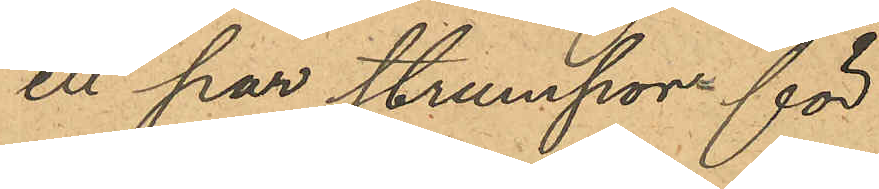ett par strumpor för
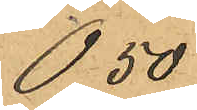0,50
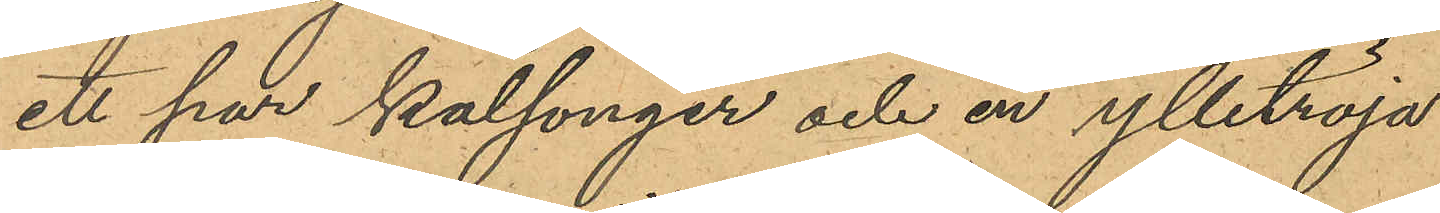ett par kalsonger och en ylletröja
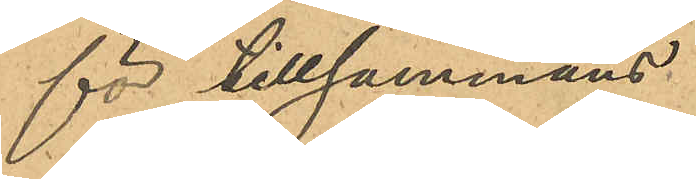för tillsammans
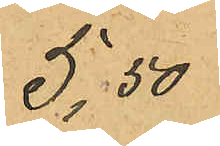5,50
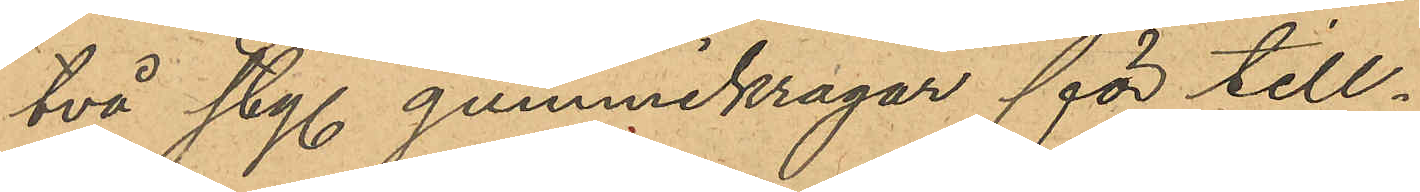två sty. gummikragar för till¬
